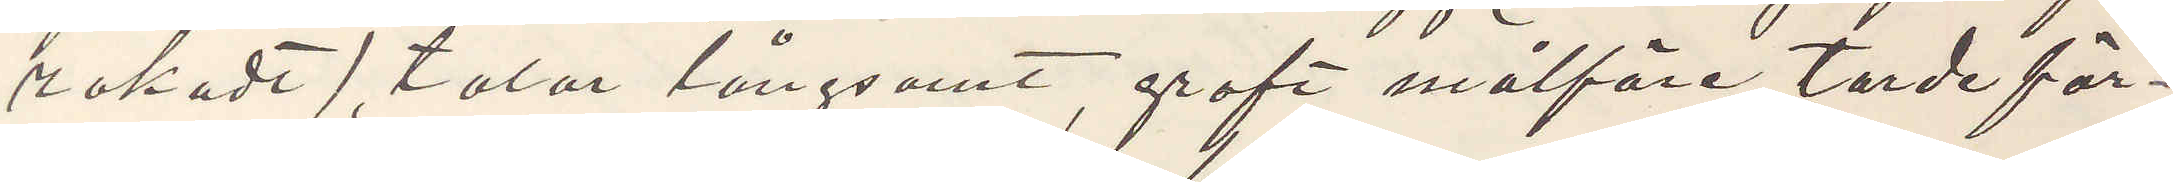rakadt), talar långsamt, groft målföre, torde för¬
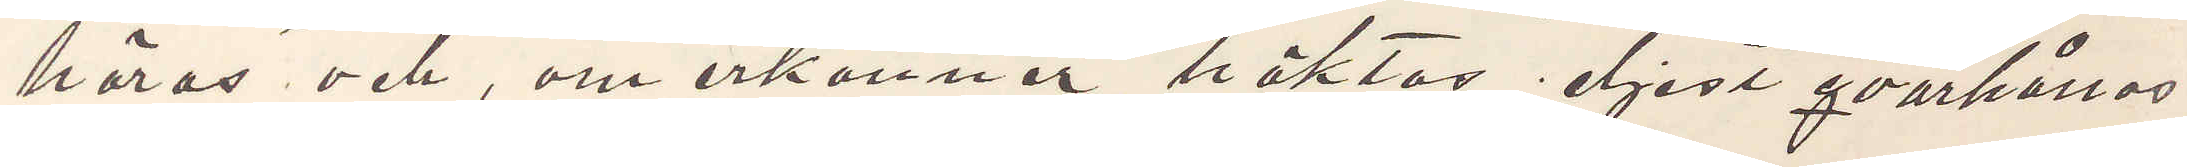höras och, om erkänner, häktas eljest qvarhållas
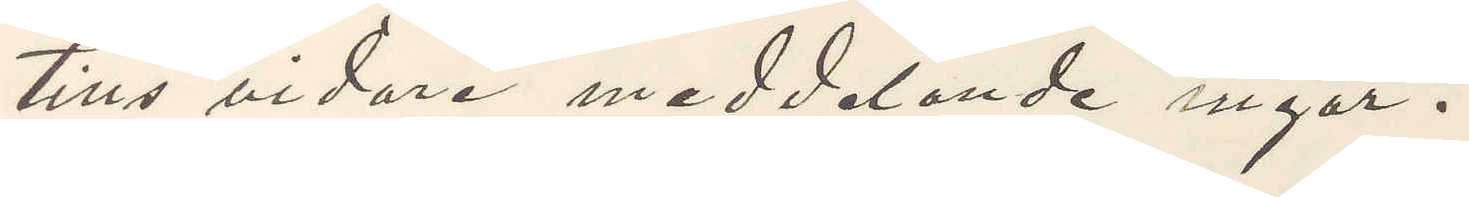tills vidare meddelande ingår.
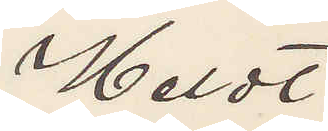Heldt
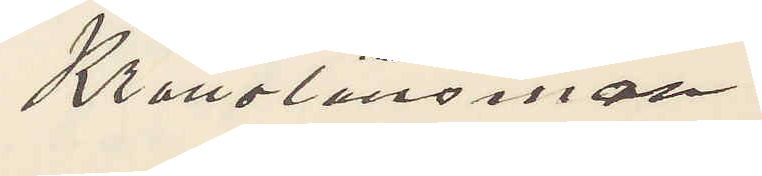Kronolänsman
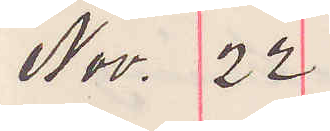Nov. 22
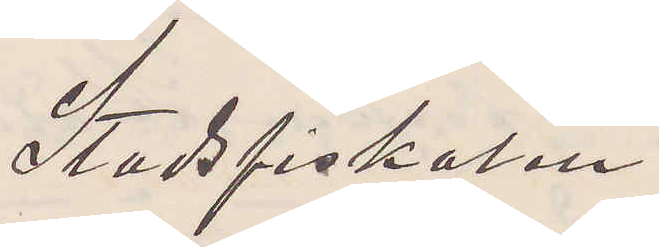Stadsfiskalen
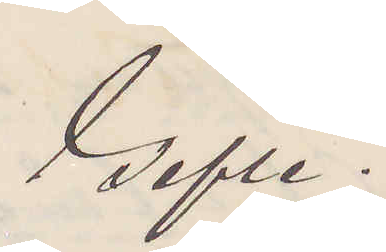Gefle.
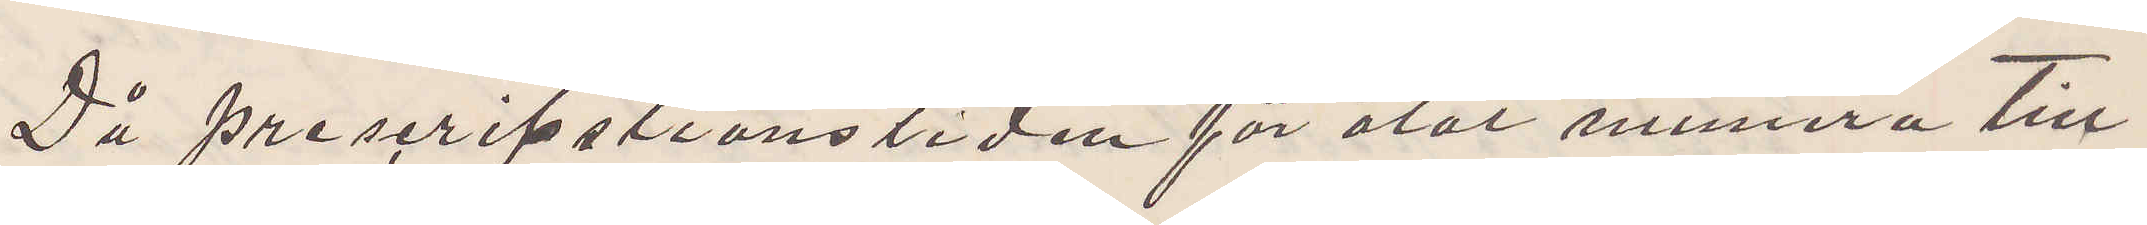Då prescriptsionstiden för åtal numera till¬
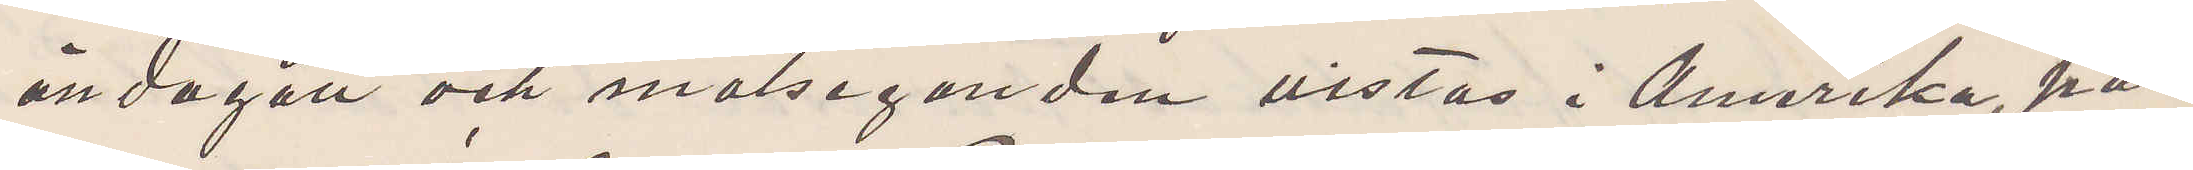ändagått och målseganden vistas i Amerika, på¬
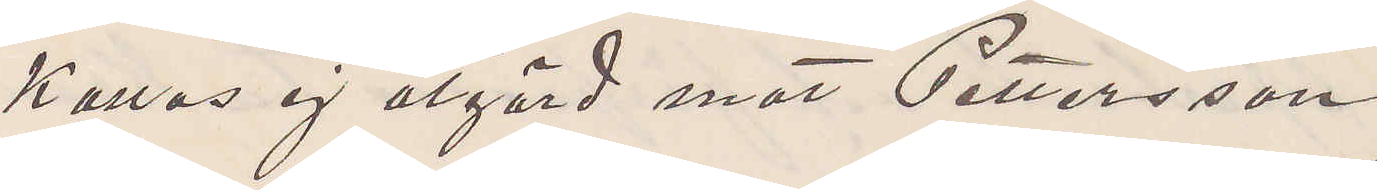kallas ej åtgård mot Pettersson.
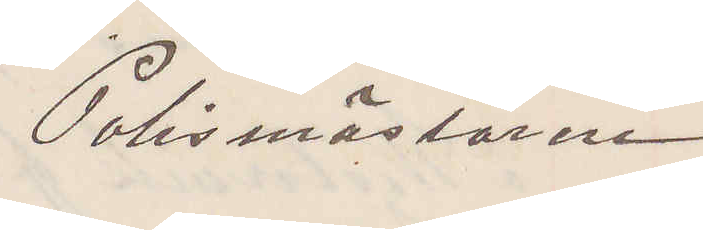Polismästaren
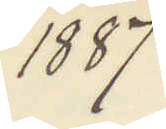1887
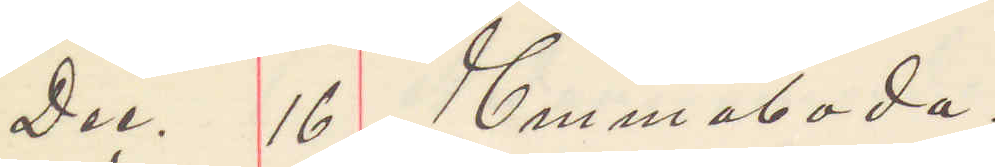Dec. 16 Emmaboda.
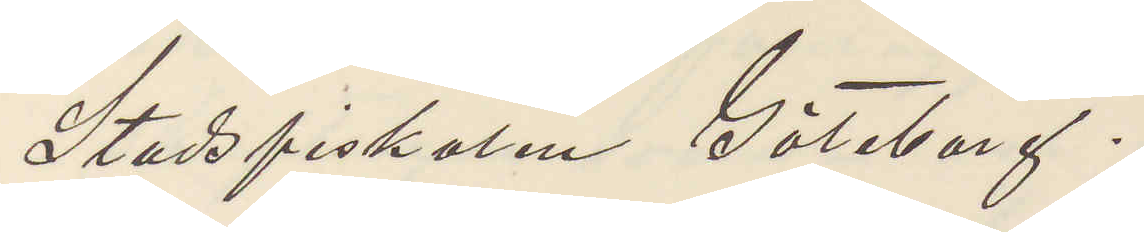Stadsfiskalen Göteborg.
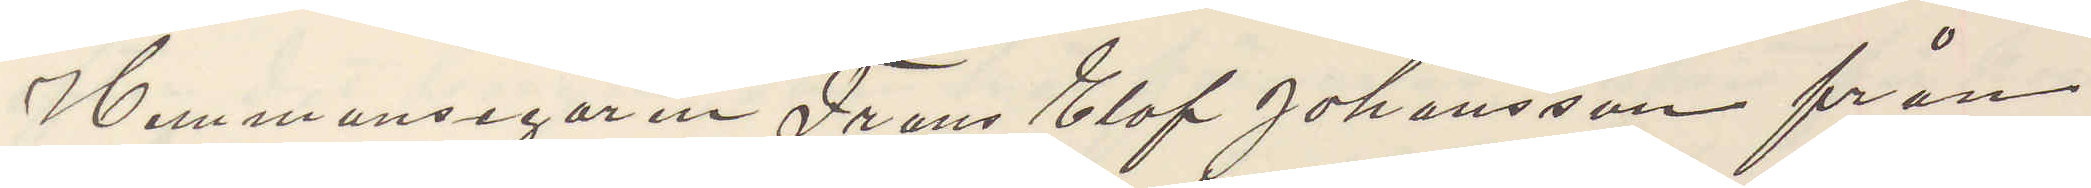Hemmansegaren Frans Olof Johansson från
